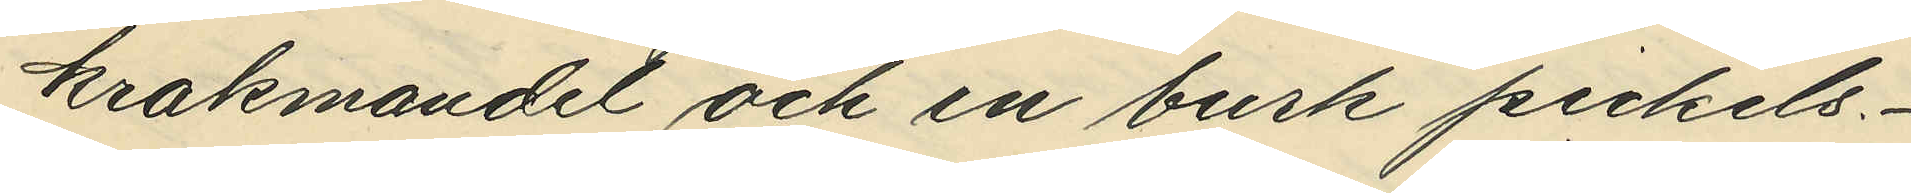krakmandel och en burk pickels.
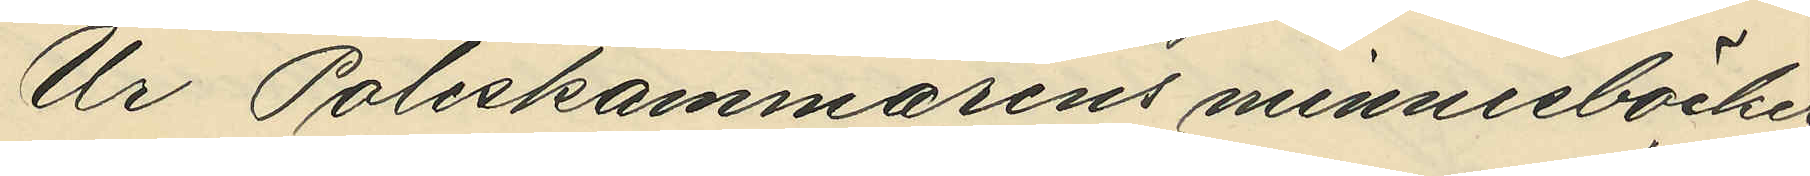Ur Poliskammarens minnesböcker
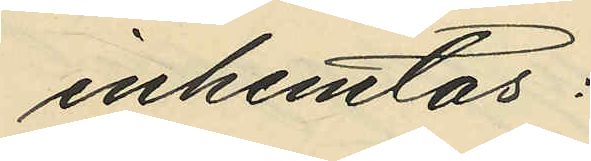inhemtas:
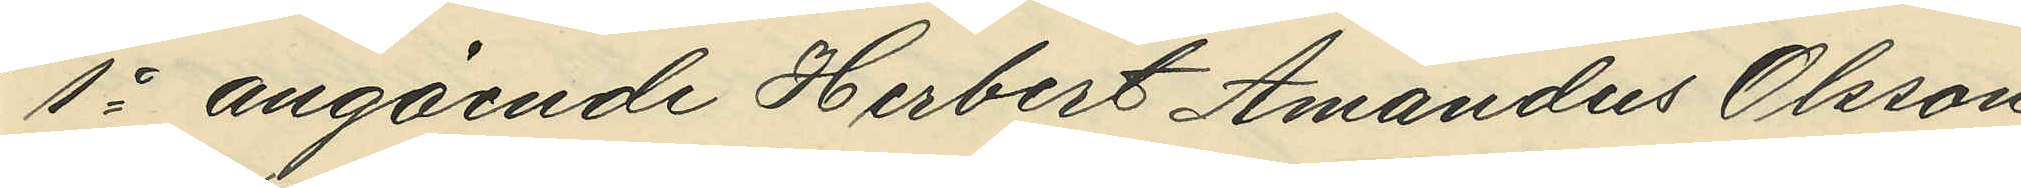1o angående Herbert Amandus Olsson
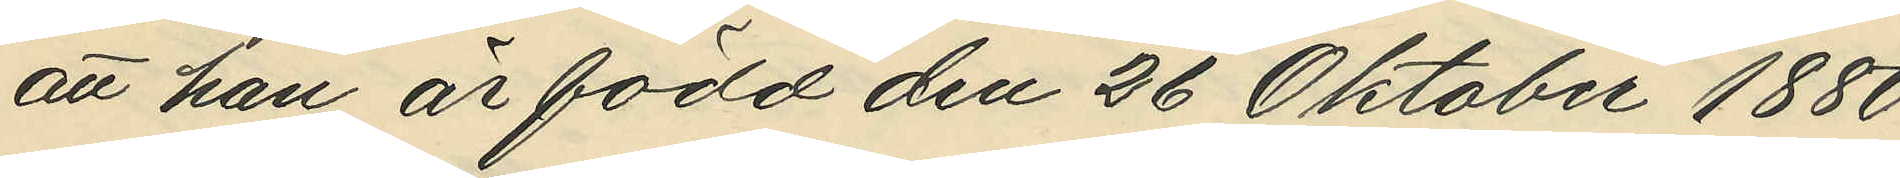att han är född den 26 Oktober 1880
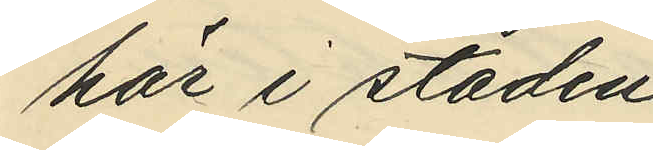här i staden,
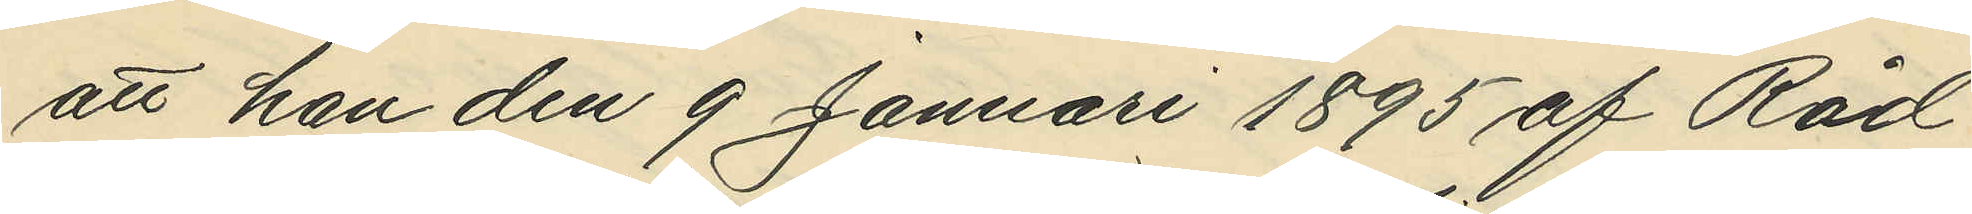att han den 9 Januari 1895 af Råd¬
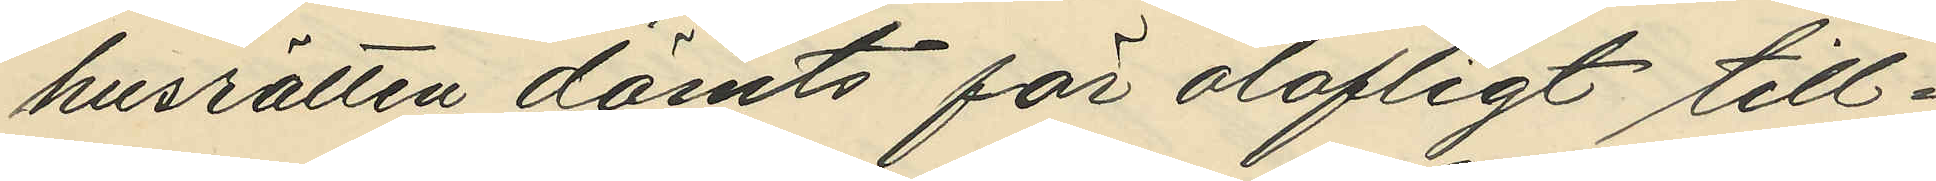husrätten dömts för olofligt till¬
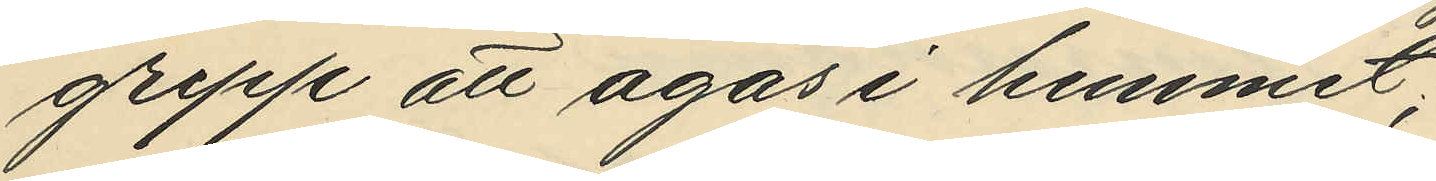grepp att agas i hemmet;
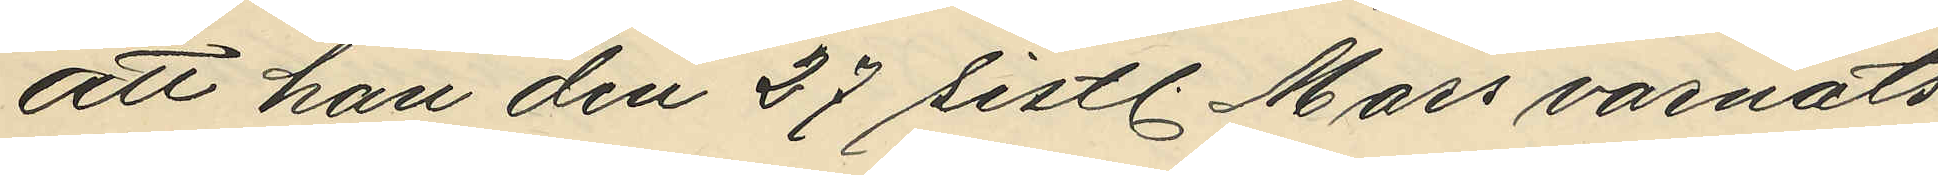att han den 27 sistl. Mars varnats
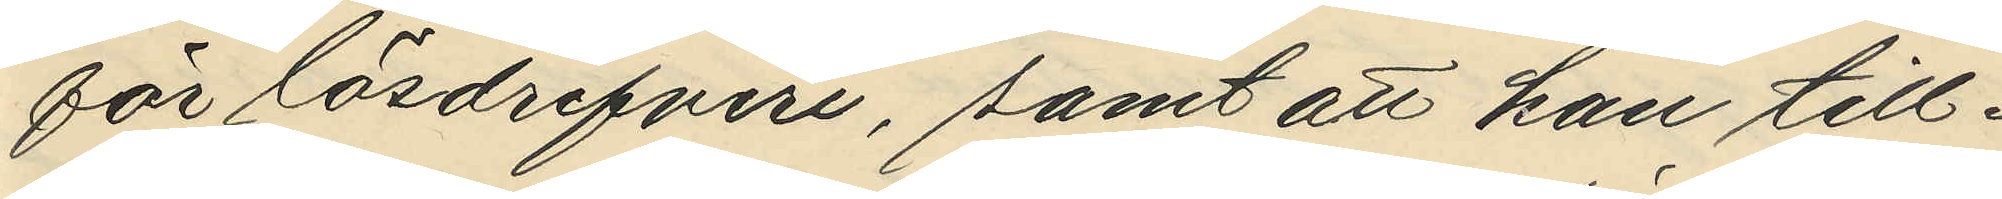för lösdrifveri, samt att han till¬
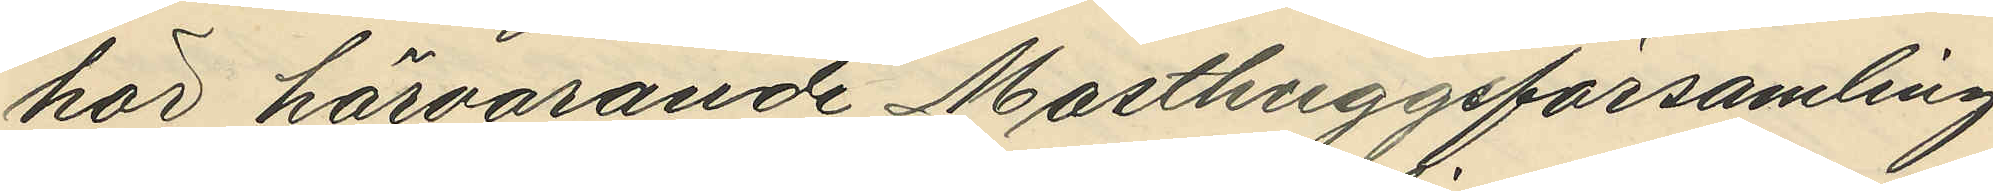hör härvarande Masthuggsförsamling
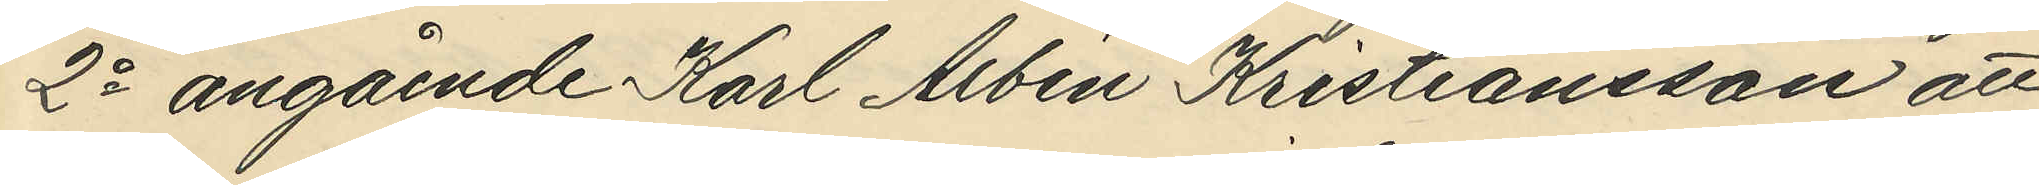2o angående Karl Albin Kristiansson att
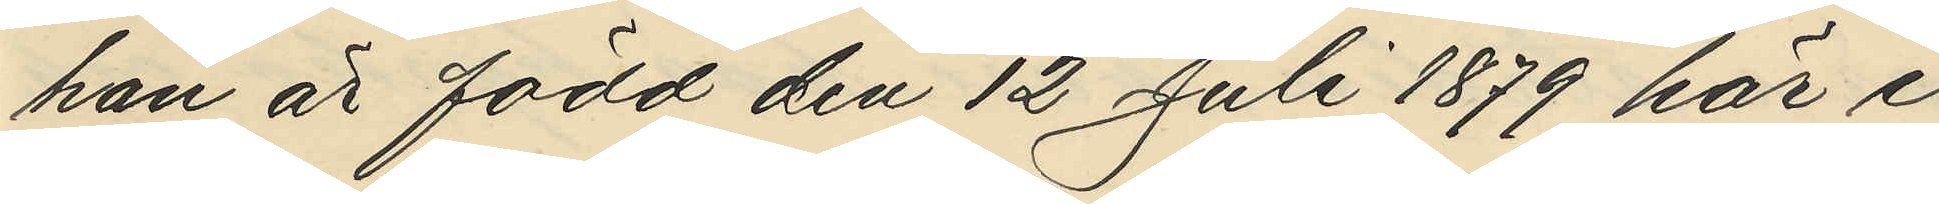han är född den 12 Juli 1879 här i
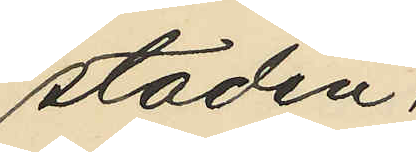staden;
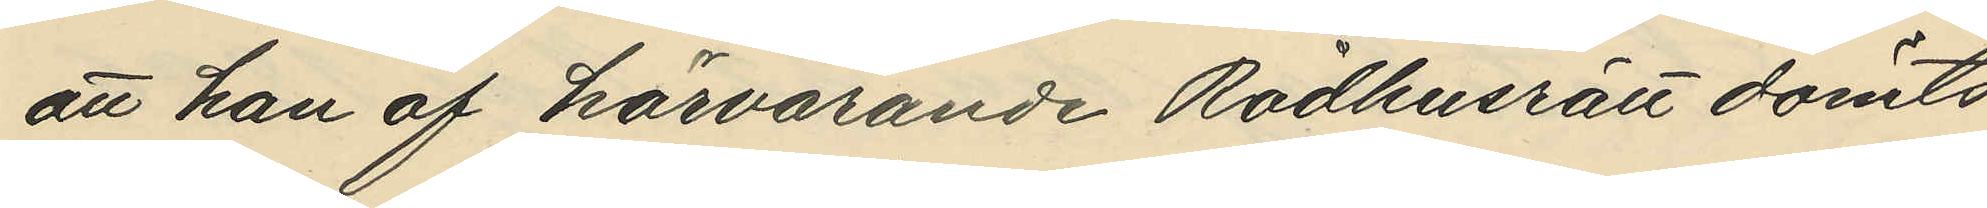att han af härvarande Rådhusrätt dömts
